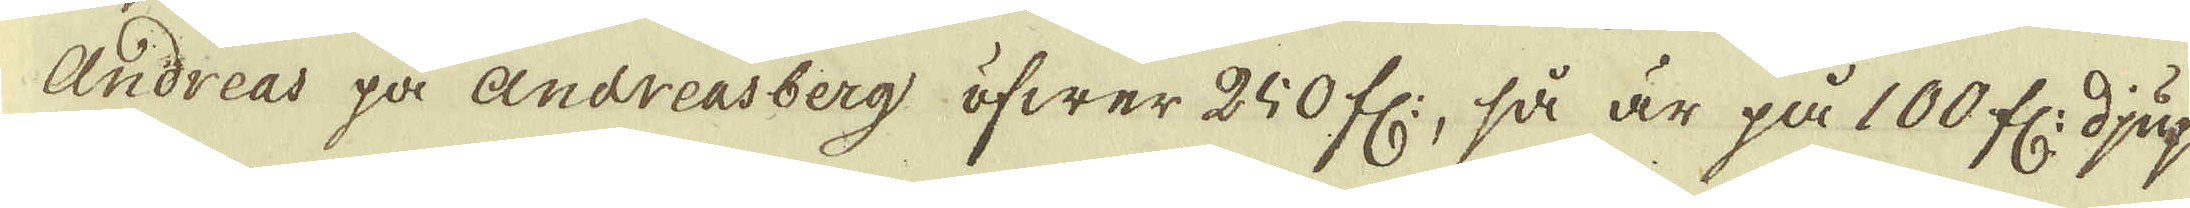Andreas på Andreasberg öfwer 250 fr:, så är på 100 fr: djup
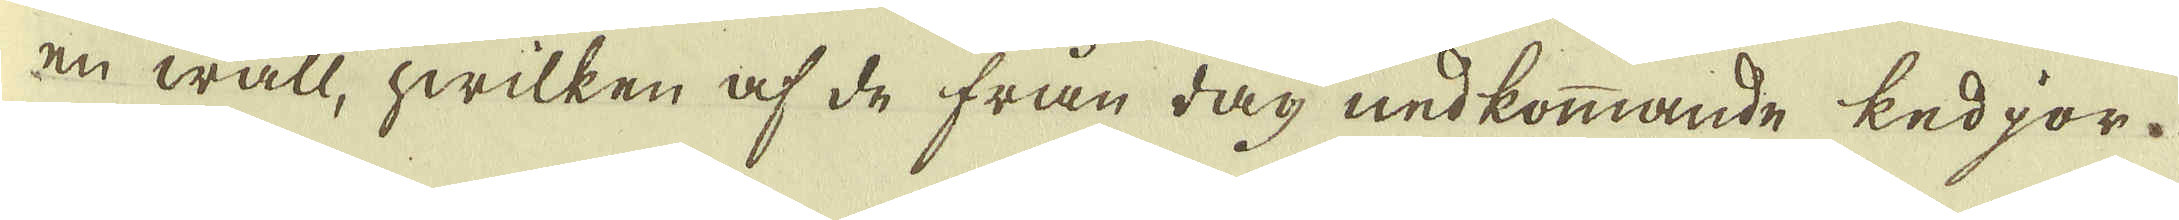en wall, hwilken af de från dag nedkommande kedjor.
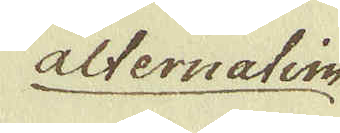alternatim
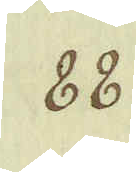88.
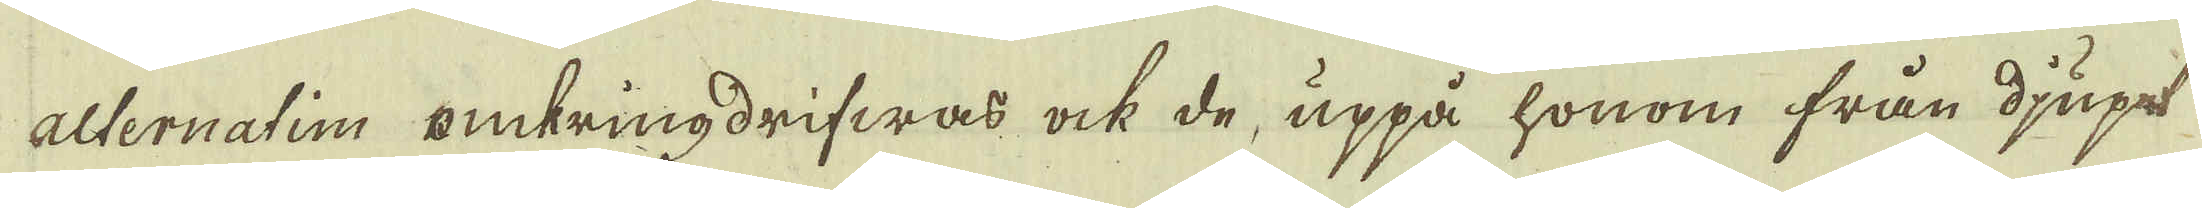alternatim omkringdrifwas ock de, uppå honom från djupet
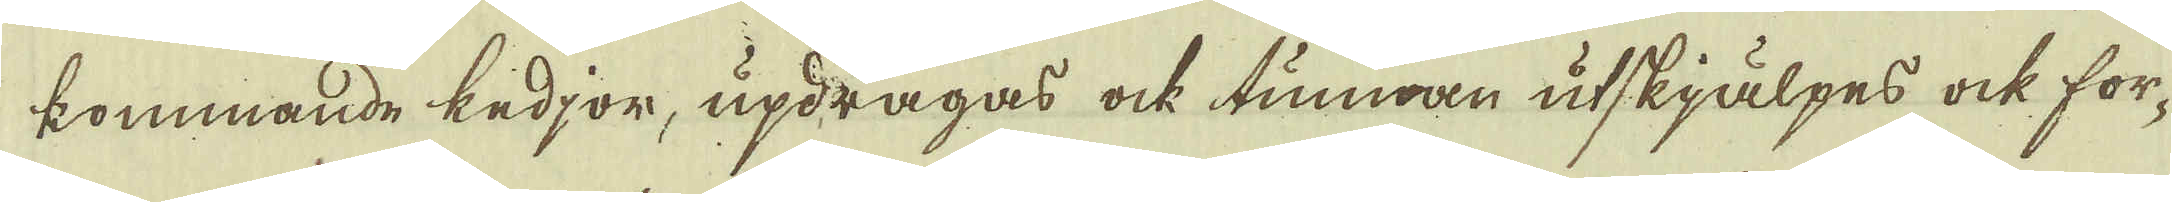kommande kedjor, updragas ock tunnan utskjälpes ock for-
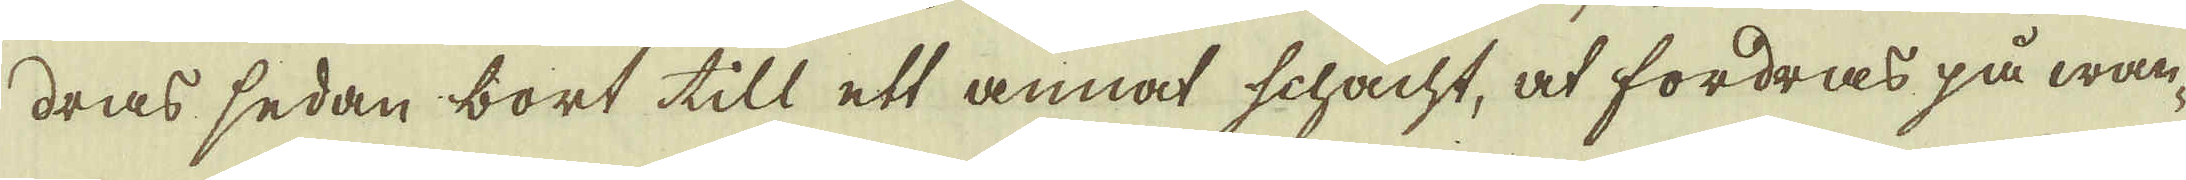dras sedan bort till ett annat schacht, at fordras på wan-
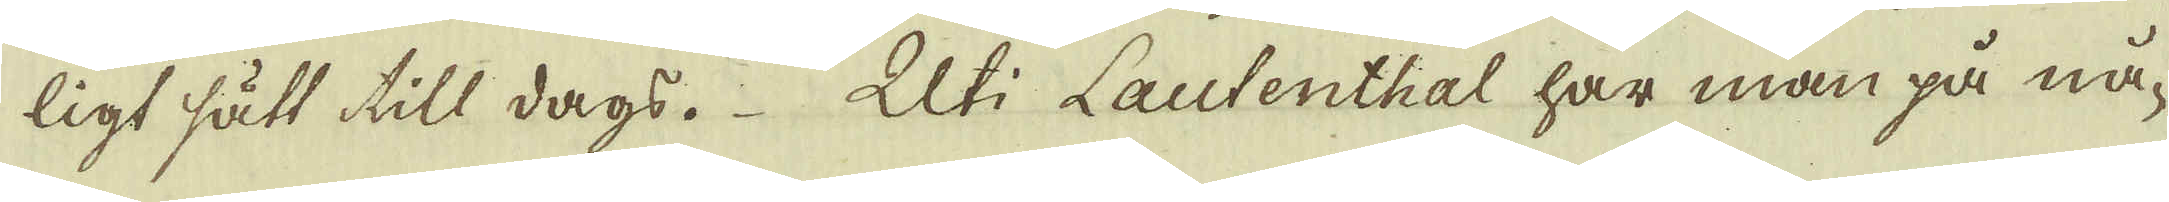ligt sätt till dags. Uti Lautenthal har man på nå-
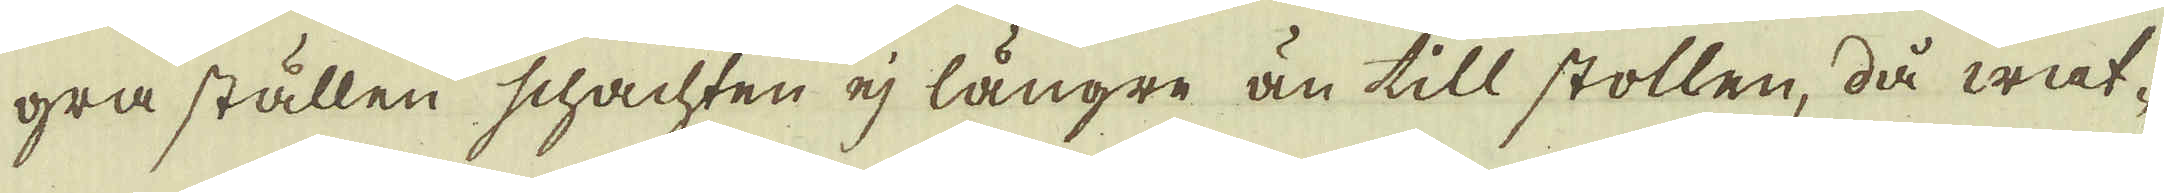gra ställen schachten ej längre än till stollen, då wat-
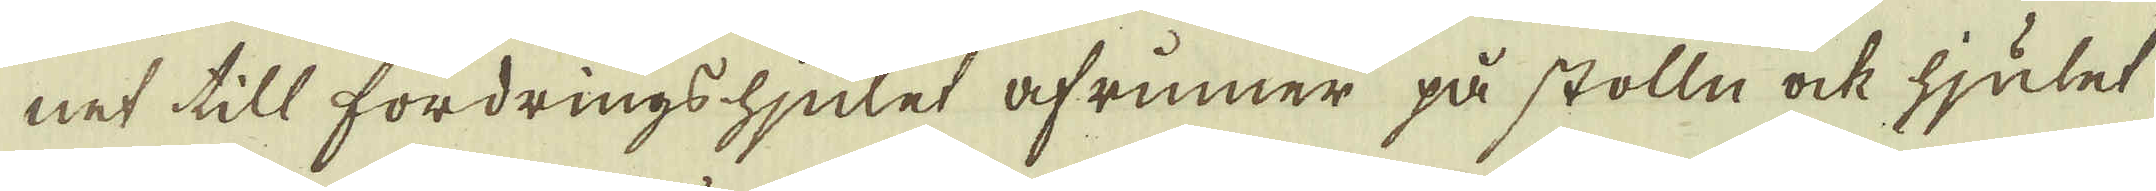net till fordrings hjulet afrinner på stolln ock hjulet
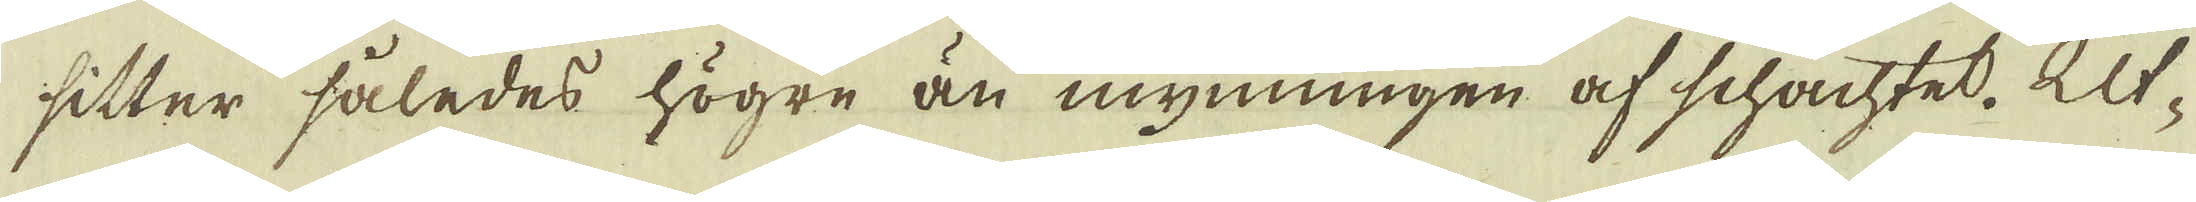sitter således högre än mynningen af schachtet. Ut-
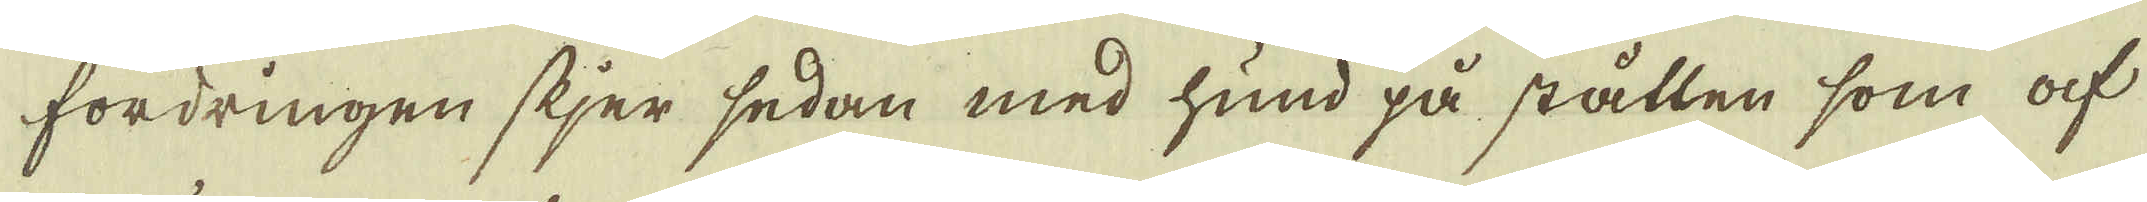fordringen skjer sedan med hund på ställen som af
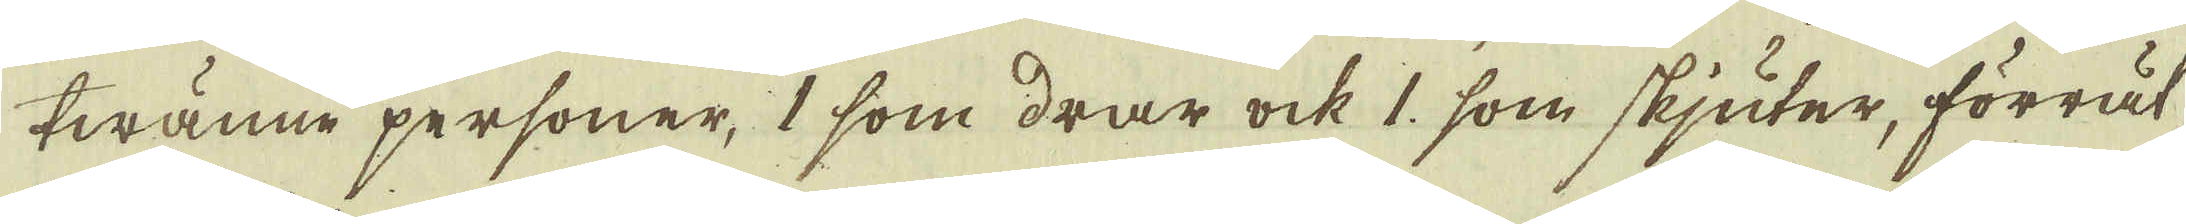twänne personer, 1 som drar ock 1, som skjuter, förrät-
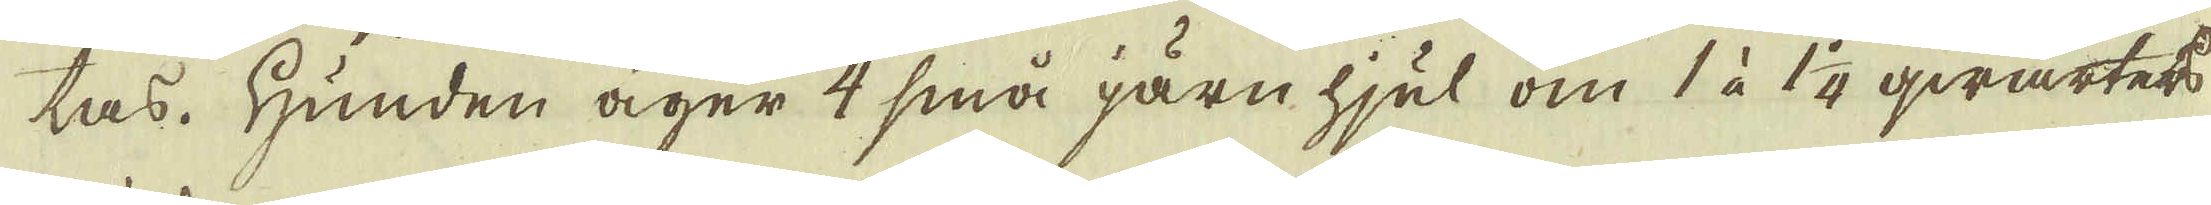tas. Hunden äger 4 små järn hjul om 1 à 1 1/4 qwarters
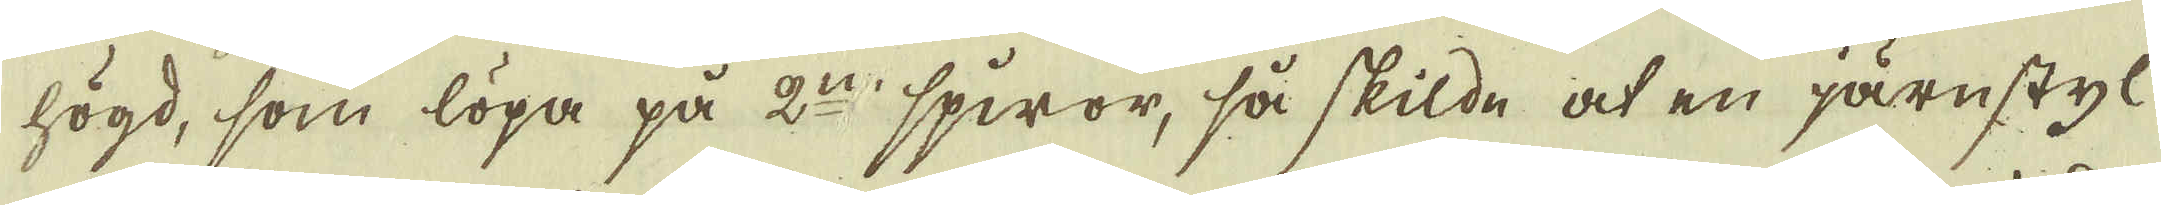högd, som löpa på 2:n spiror, så skilde at en järnstyl
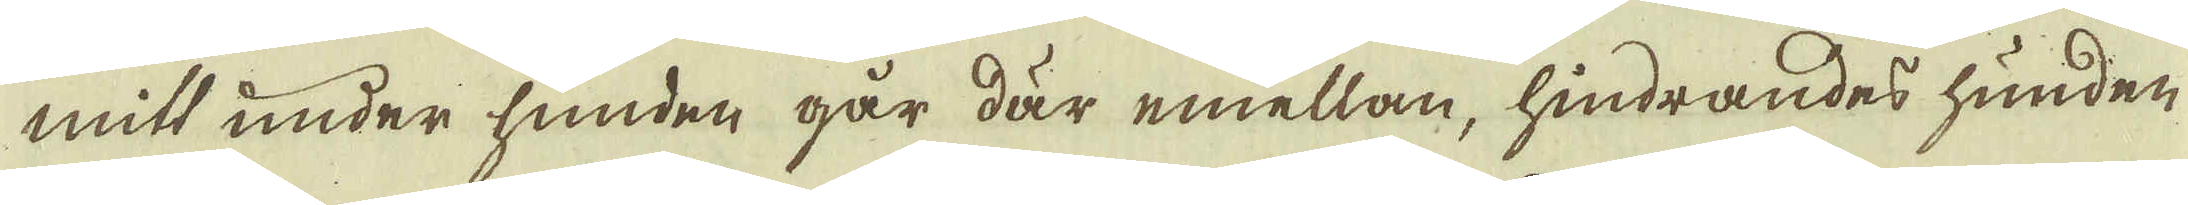mitt under hunden går där emellan, hindrandes hunden
